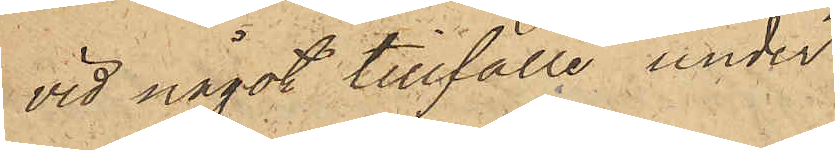vid något tillfälle under
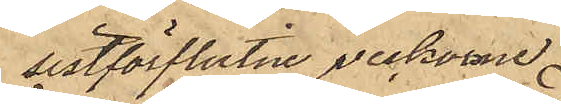sistförflutne veckorna
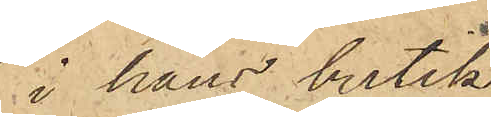i hans butik
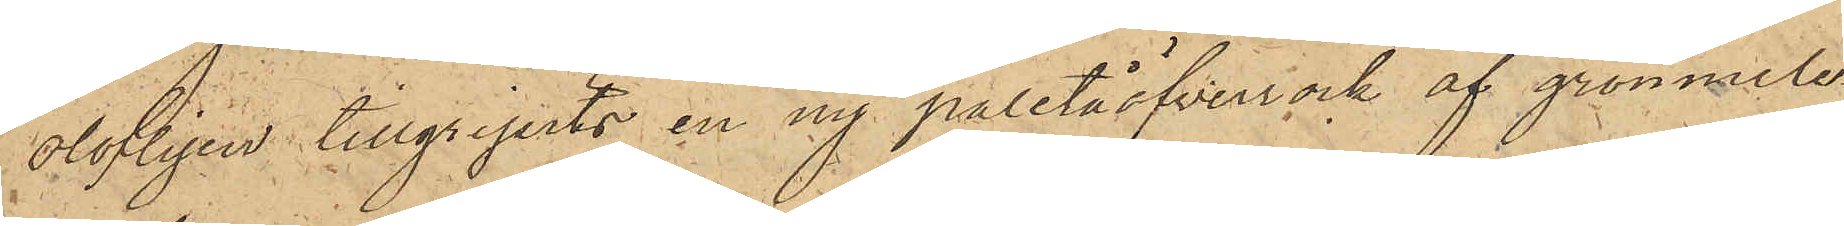olofligen tillgripits en ny paletåöfverrock af grönmele¬
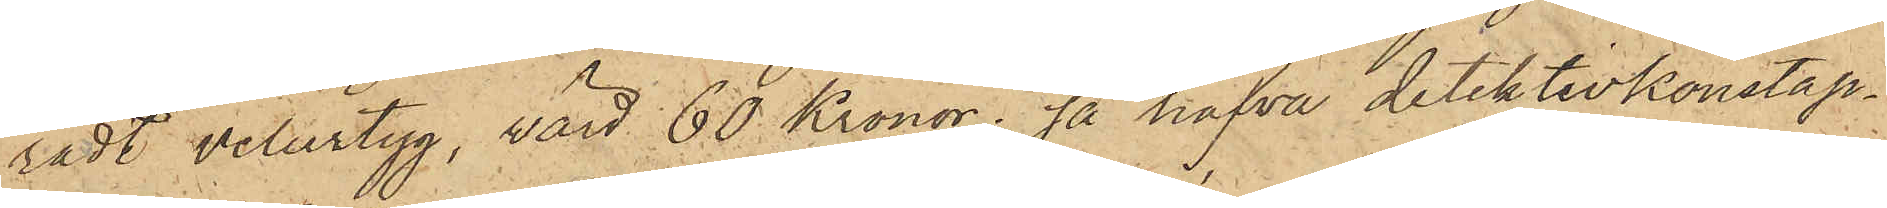radt velurtyg, värd 60 Kronor; så hafva detektivkonstap¬
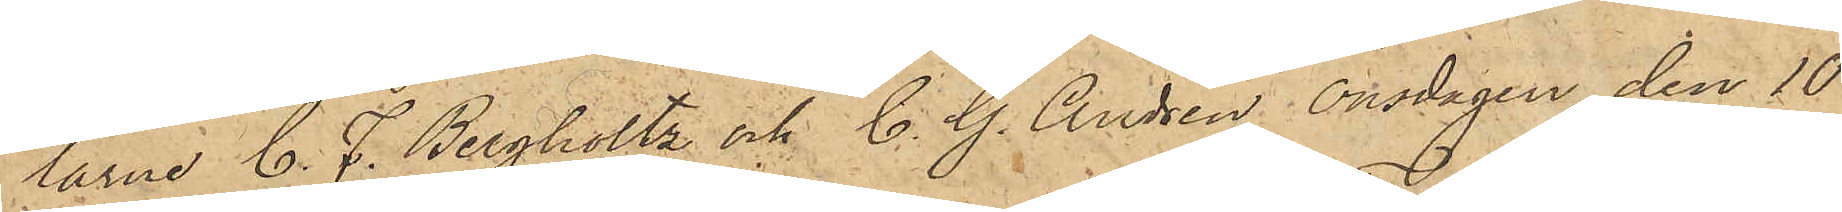larne C. F. Bergholtz och C. G. Andrén onsdagen den 10
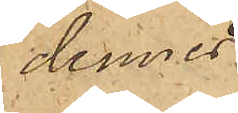dennes
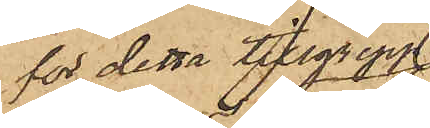för detta tillgrepp
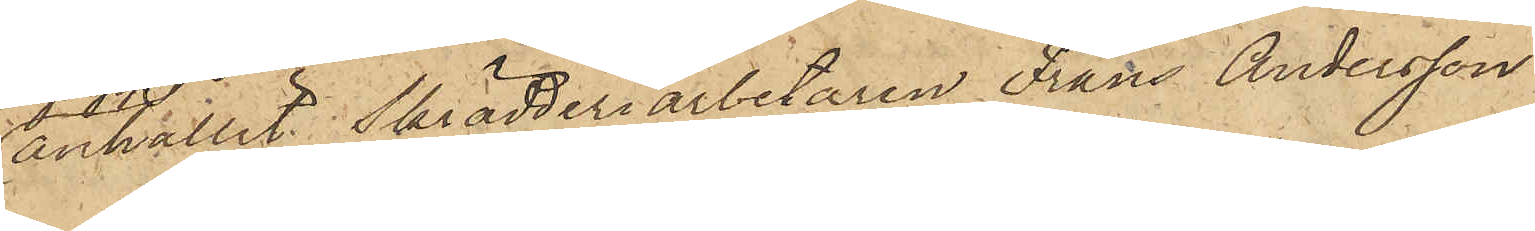anhållit Skrädderiarbetaren Frans Andersson
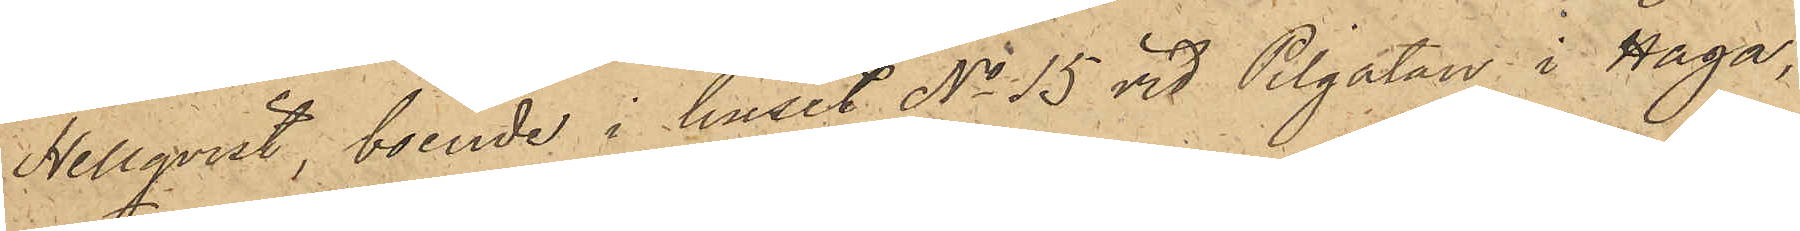Hellqvist, boende i huset No 15 vid Pilgatan i Haga,
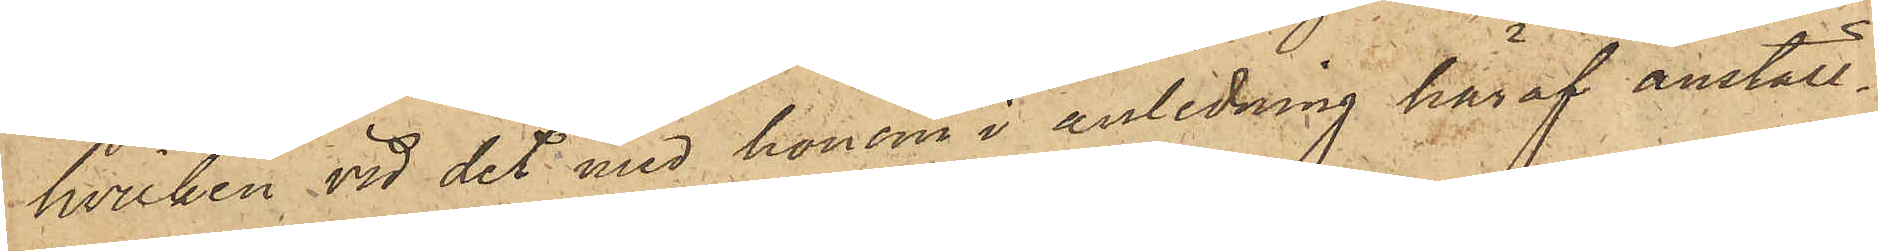hvilken vid det med honom i anledning häraf anställ¬
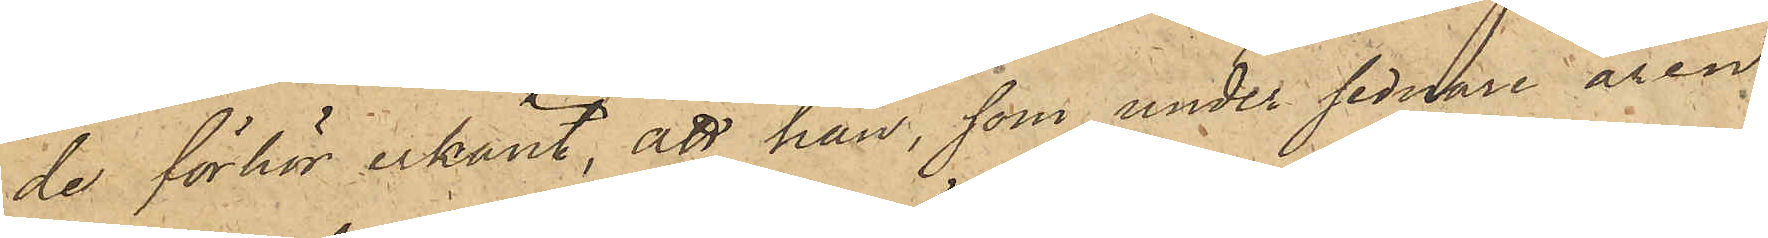de förhör erkänt, att han, som under sednare åren
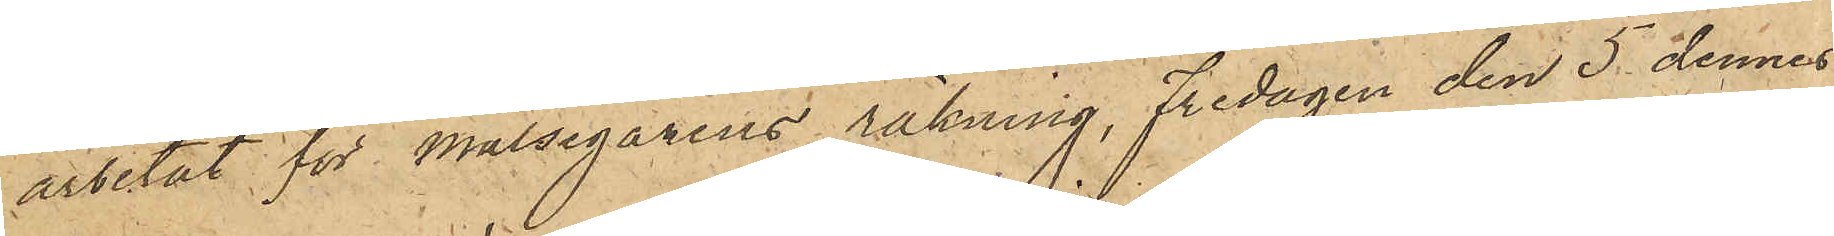arbetat för målsegarens räkning, fredagen den 5 dennes
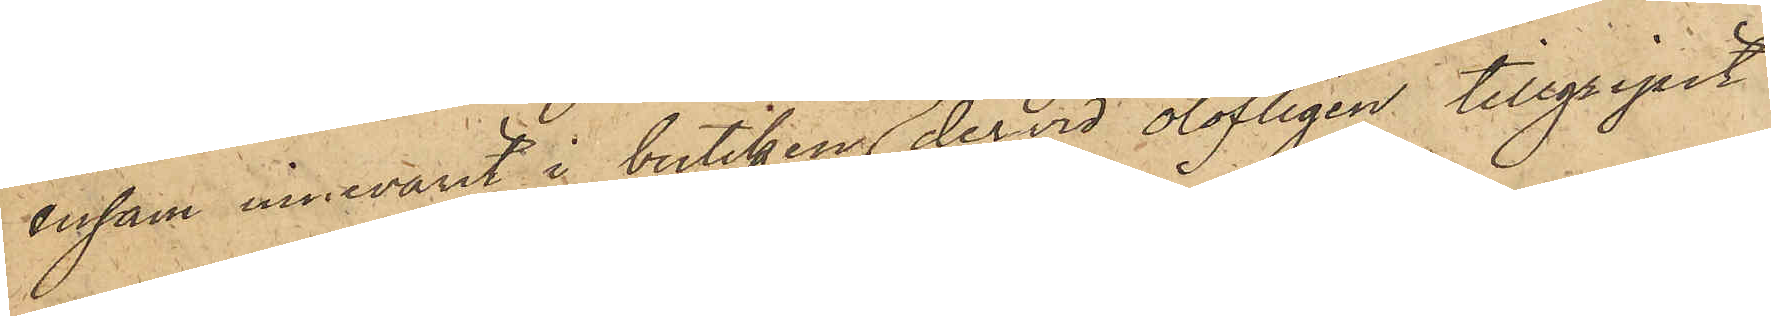ensam innevarit i butiken och dervid olofligen tillgripit
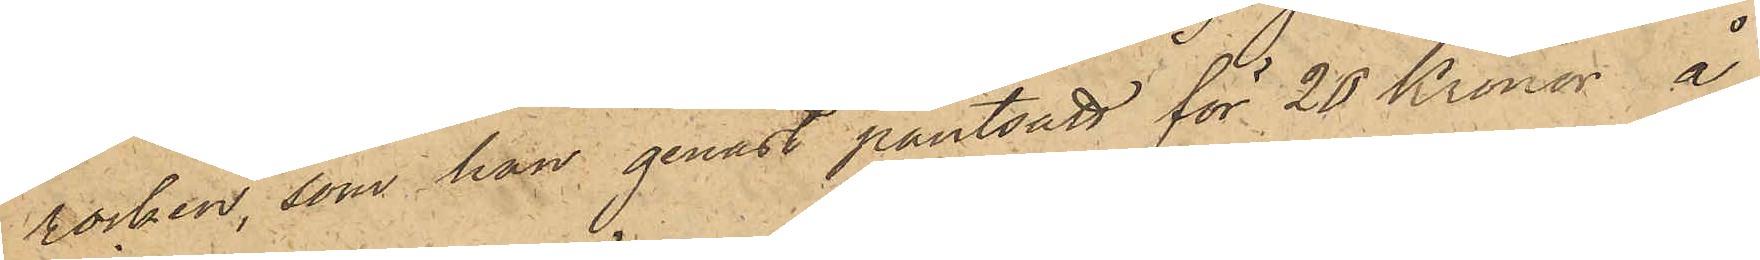rocken, som han genast pantsatt för 20 Kronor å
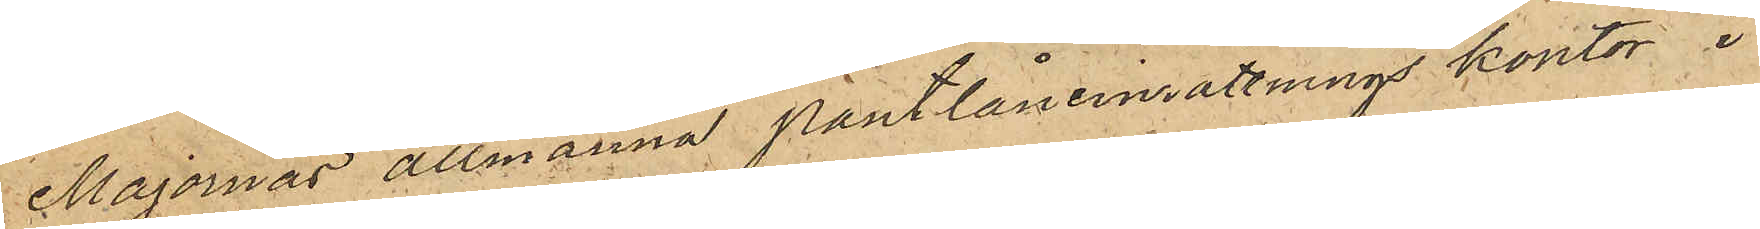Majornas allmänna pantlåneinrättnings kontor i
